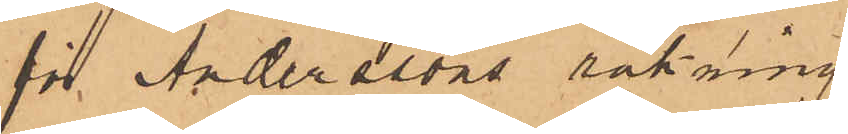för Anderssons räkning
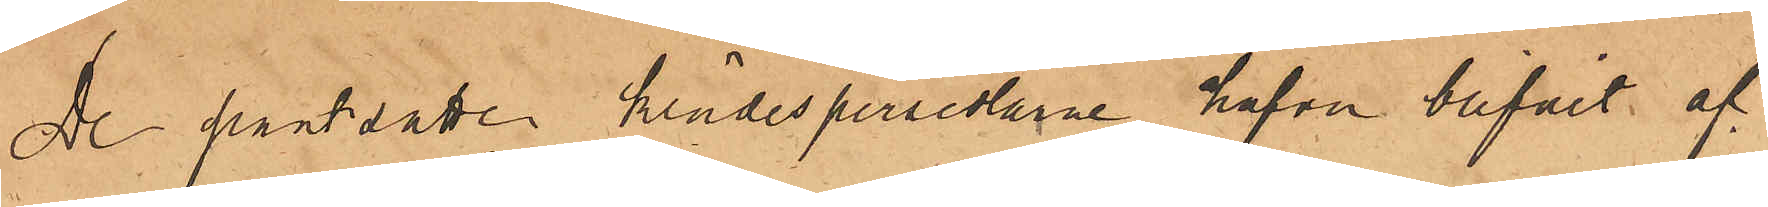De pantsatte klädespersedlarne hafva blifvit af
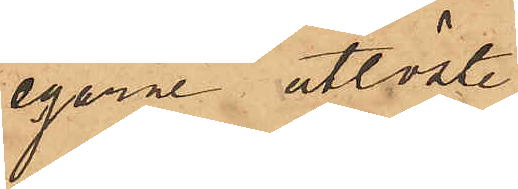egarne utlöste.
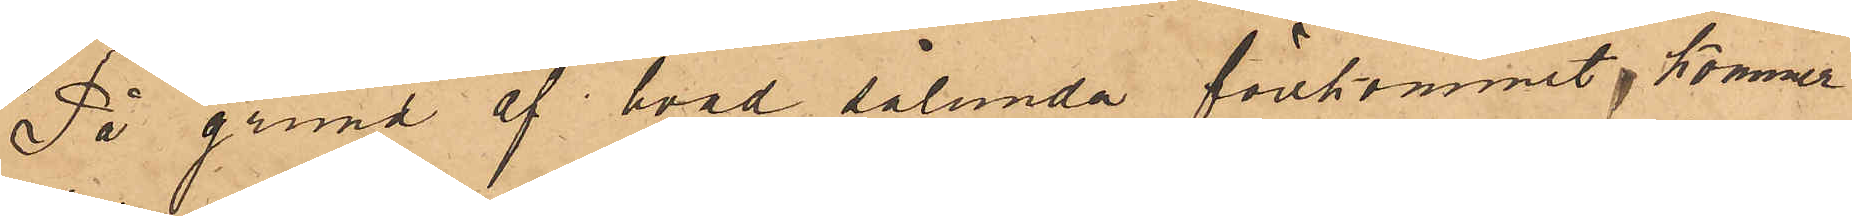På grund af hvad sålunda förekommit, kommer
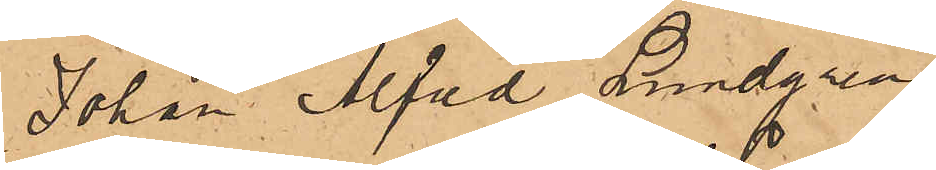Johan Alfred Lundgren,
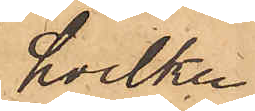hvilken
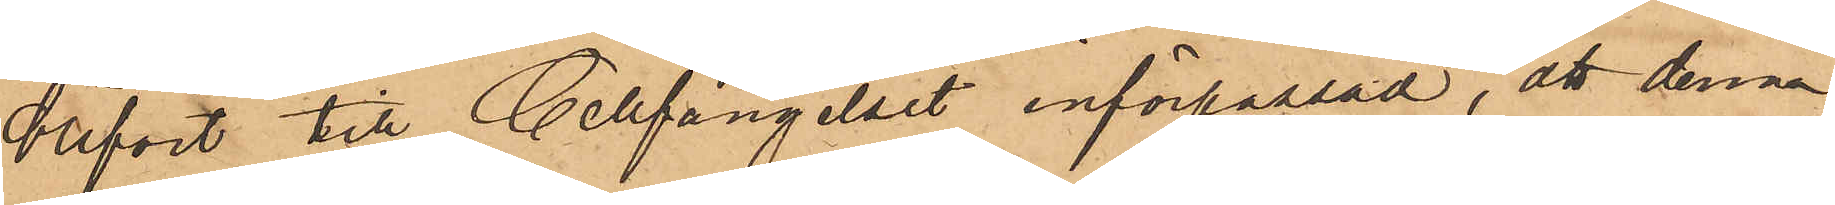blifvit till Cellfängelset införpassad, att denna
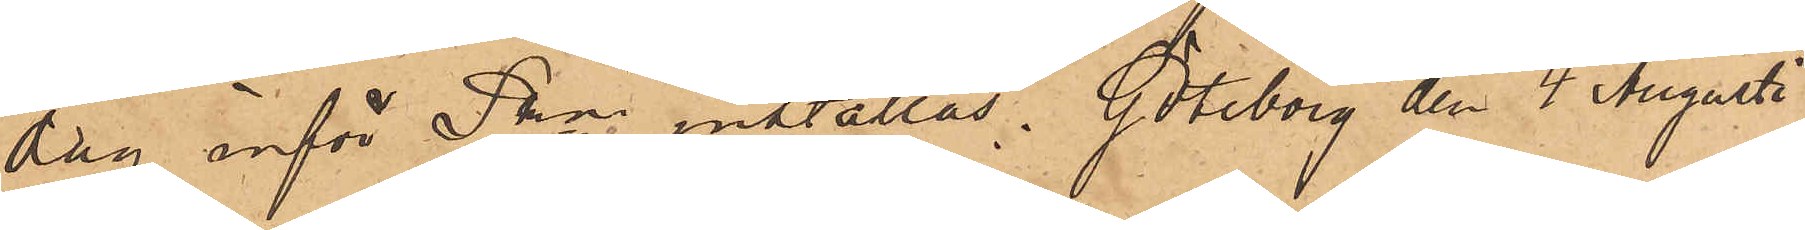dag inför Pkn inställas. Göteborg den 4 Augusti
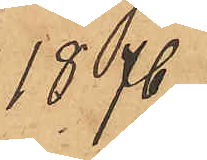1876.
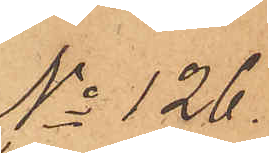No 126.
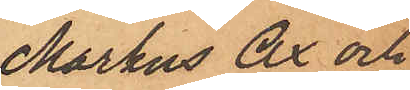Markus Ax och
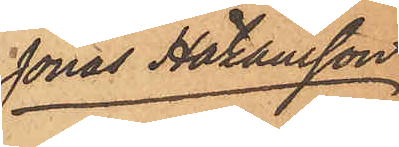Jonas Håkansson
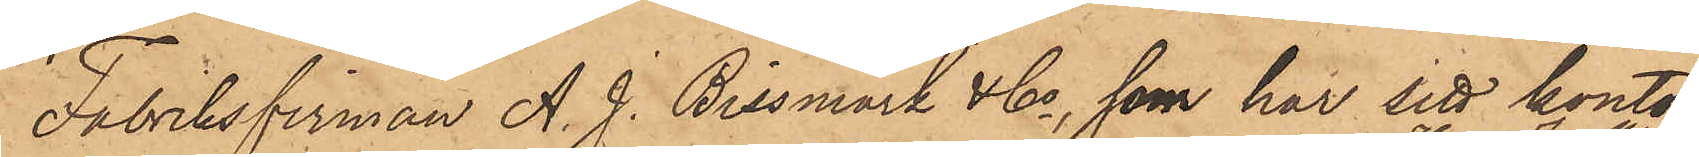Fabriksfirman A. J. Bissmark & Co, som har sitt kontor
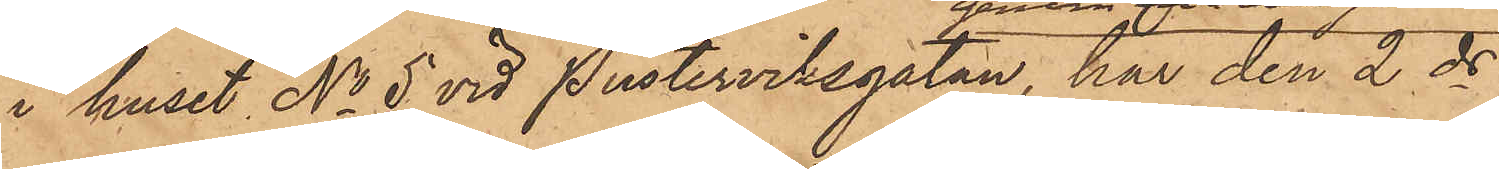i huset No 5 vid Pusterviksgatan, har den 2 ds
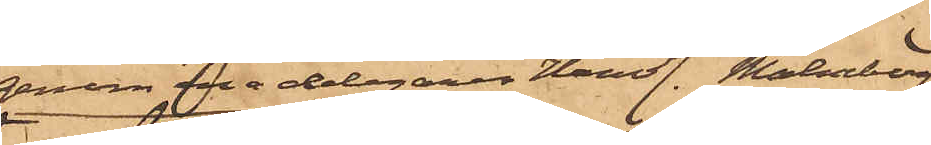genom ena delegaren Handl. Malmberg
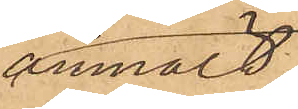anmält,
